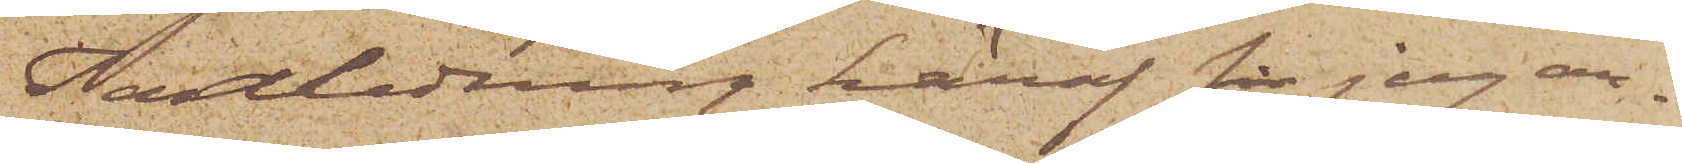I anledning häraf får jag an¬
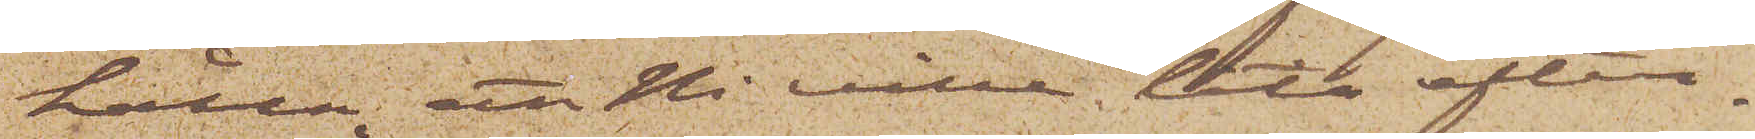hålla, att Ni ville låta efter¬
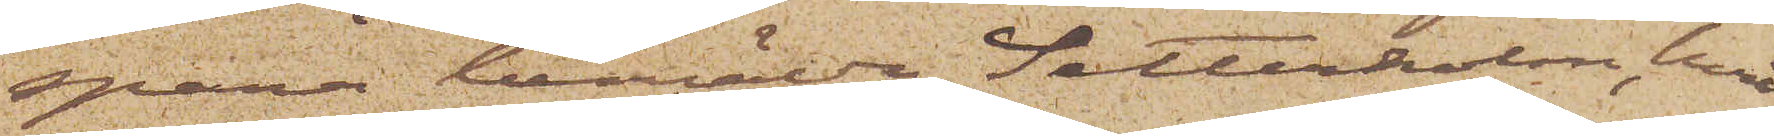spana bemälda Setterholm, hvil¬
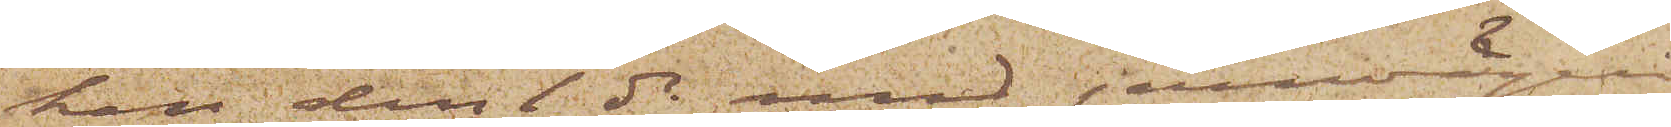ken den 1 ds med jernvägen
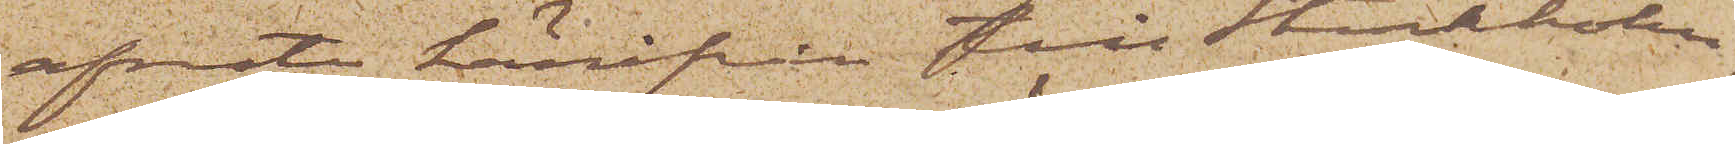afreste härifrån till Stockholm,
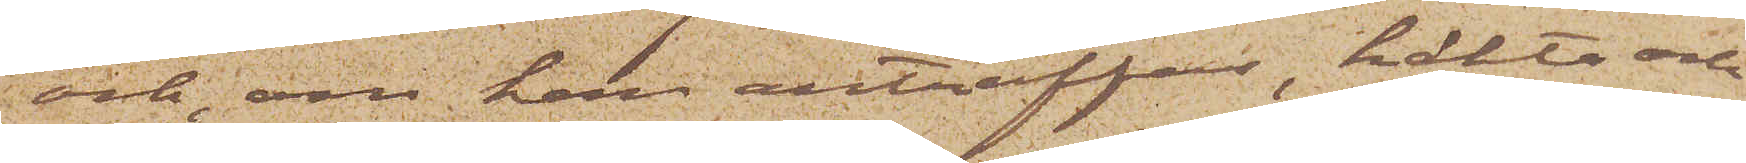och, om han anträffas, häkta och
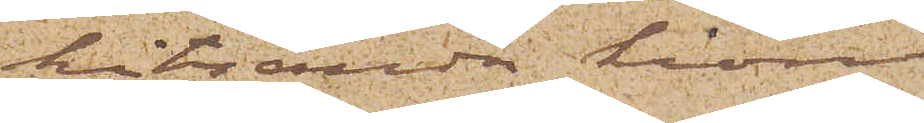hitsända honom.
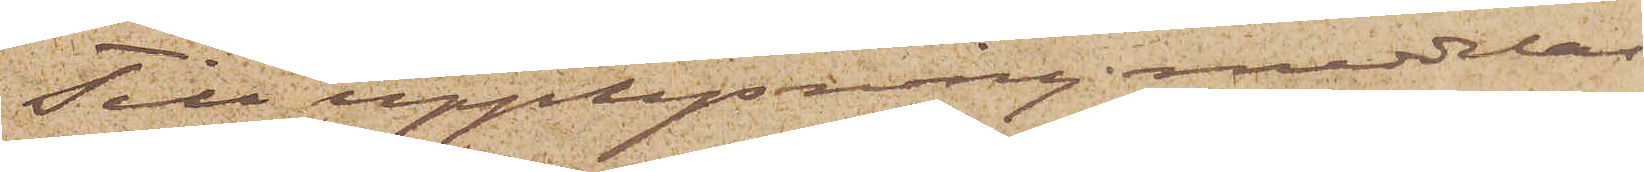Till upplysning meddelas
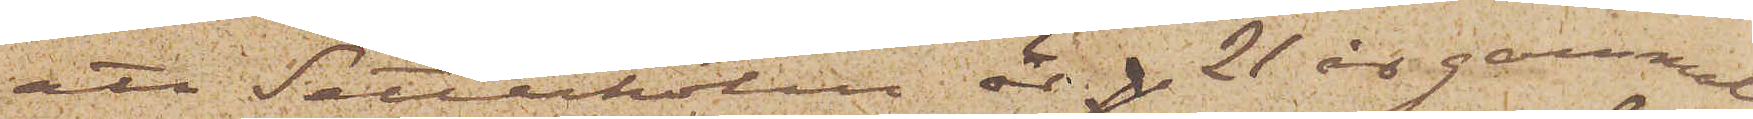att Setterholm är p 21 år gammal,
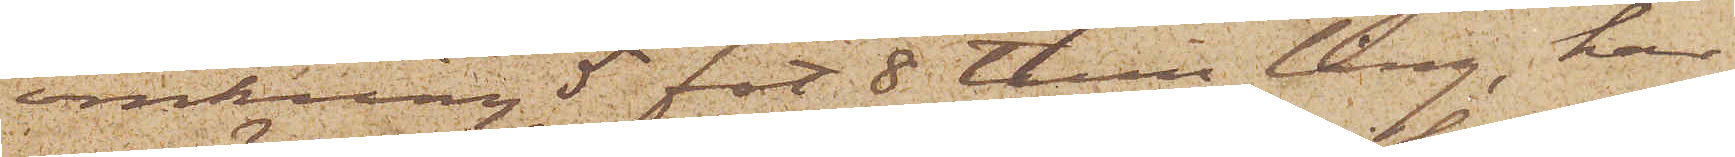omkring 5 fot 8 tum lång, har
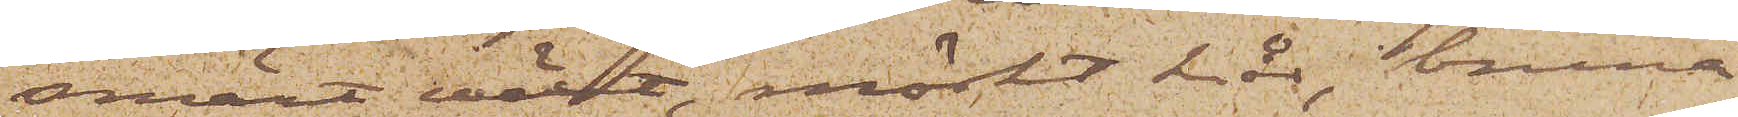smärt wext, mörkt hår, bruna
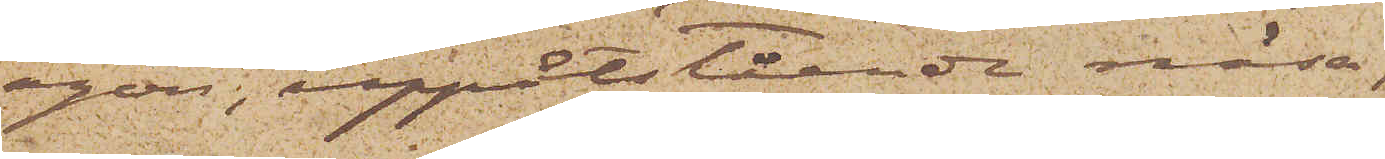ögon, uppåtstående näsa,
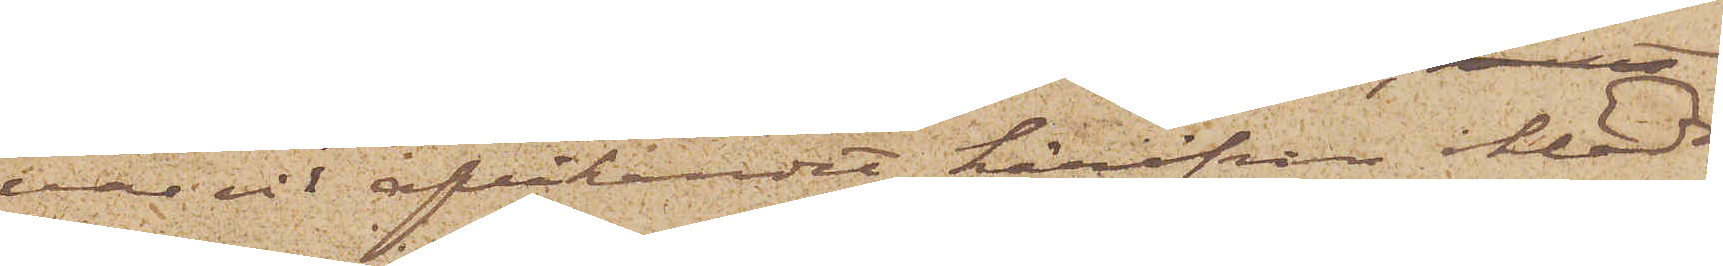var vid afvikandet härifrån iklädd
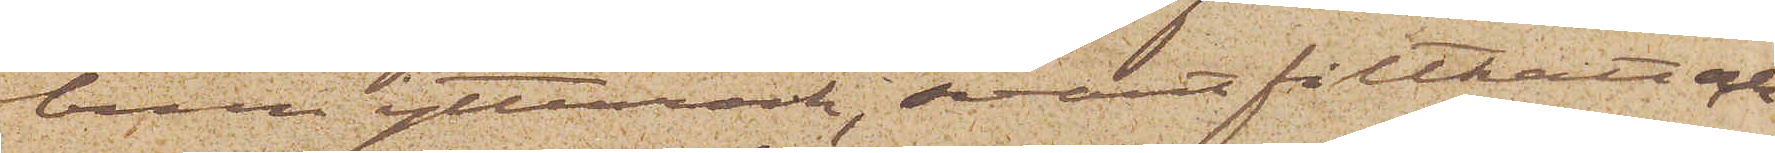brun ytterrock, svart filthatt och
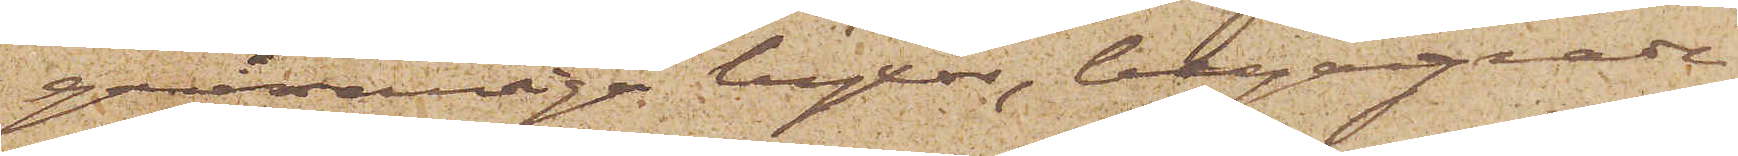grårandiga byxor, begagnade
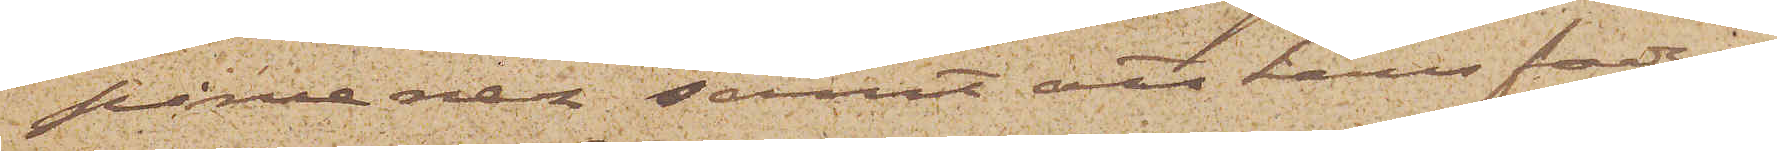pincenez; samt att hans fader,
